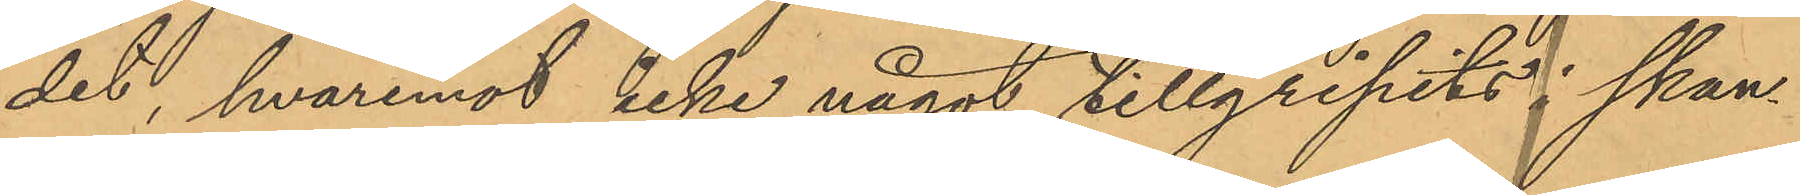det, hvaremot icke något tillgripits i skan¬
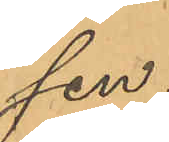sen.
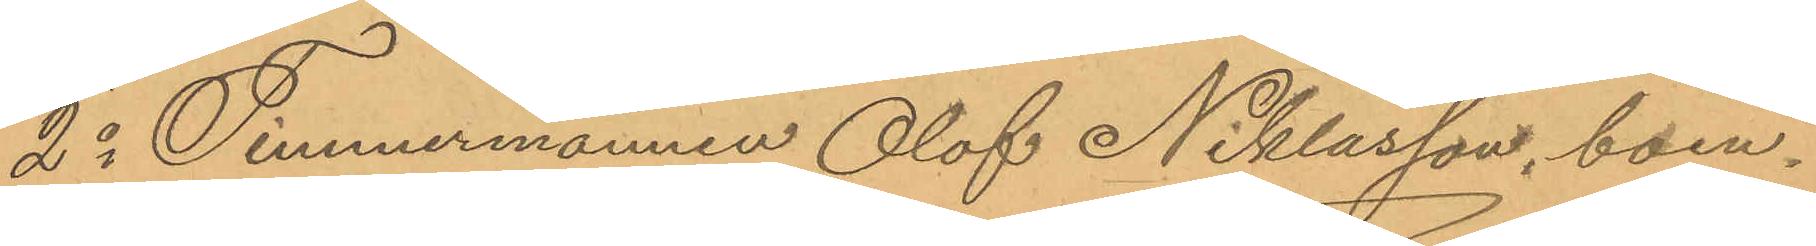2o Timmermannen Olof Niklasson, boen¬
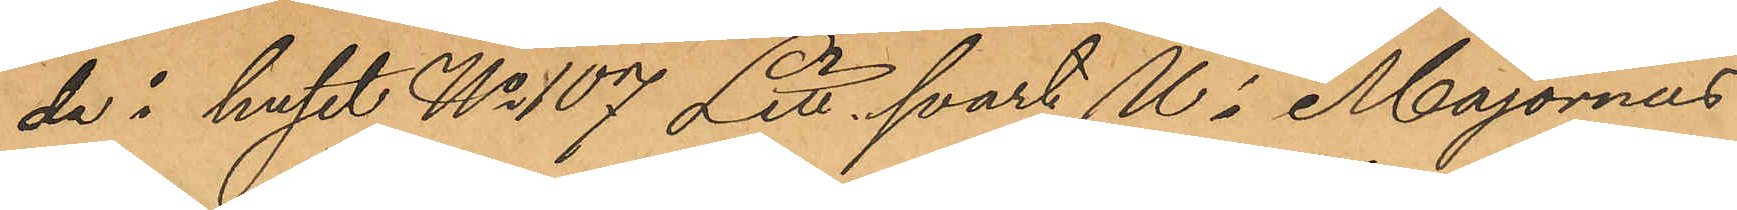de i huset No 107 Litt svart U i Majornas
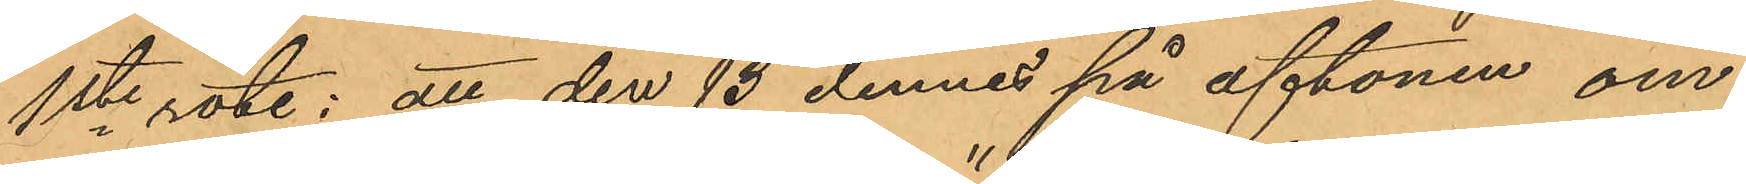1ste rote; att den 13 dennes på aftonen om¬
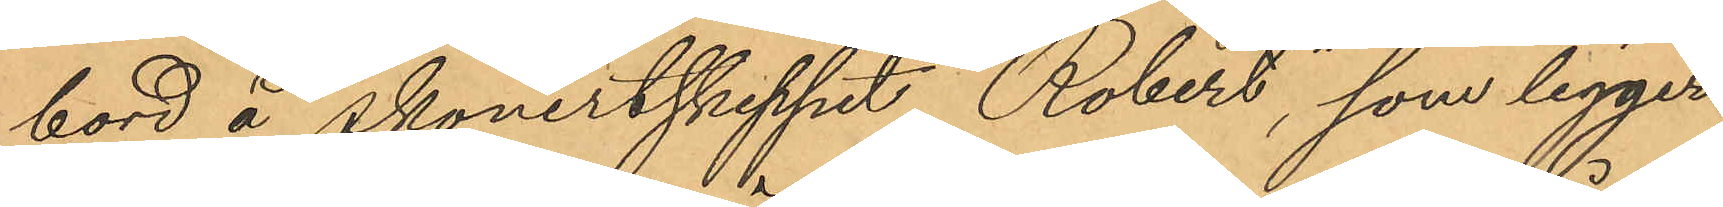bord å skonertskpeppet "Robert", som ligger
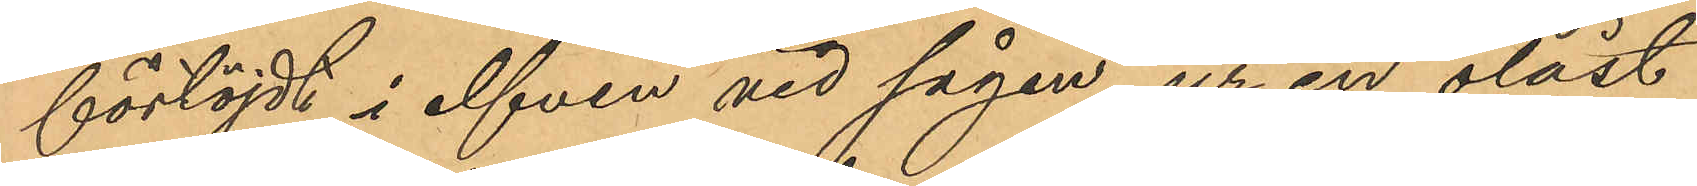förtöjdt i elfven vid sågen, ur en olåst
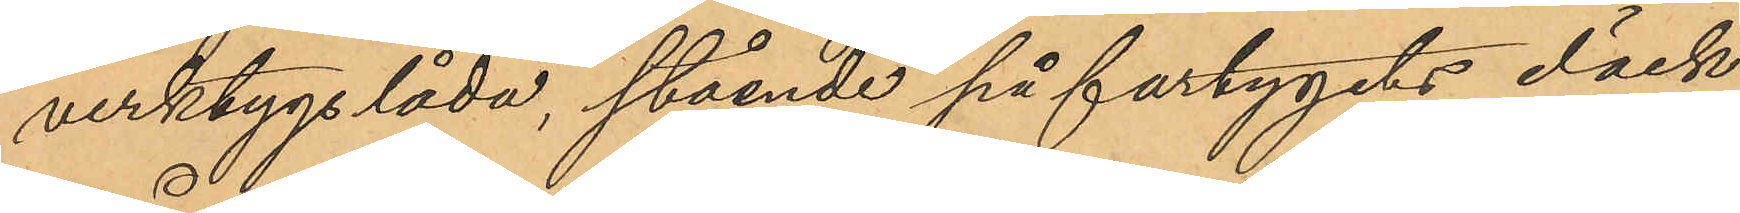verktygslåda, stående på fartygets däck
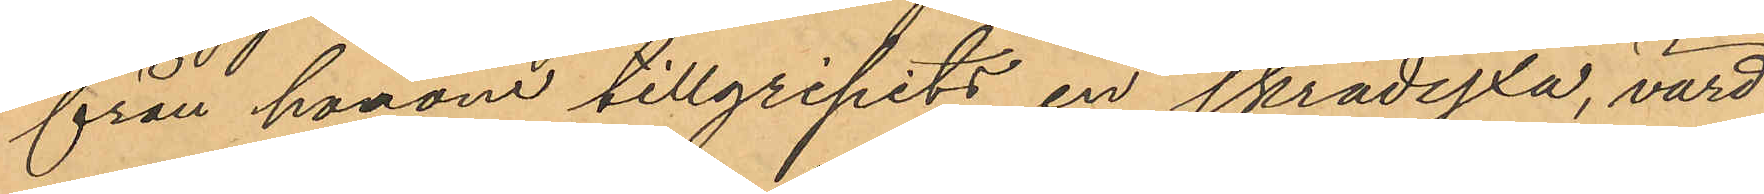från honom tillgripits en skrädyxa, värd
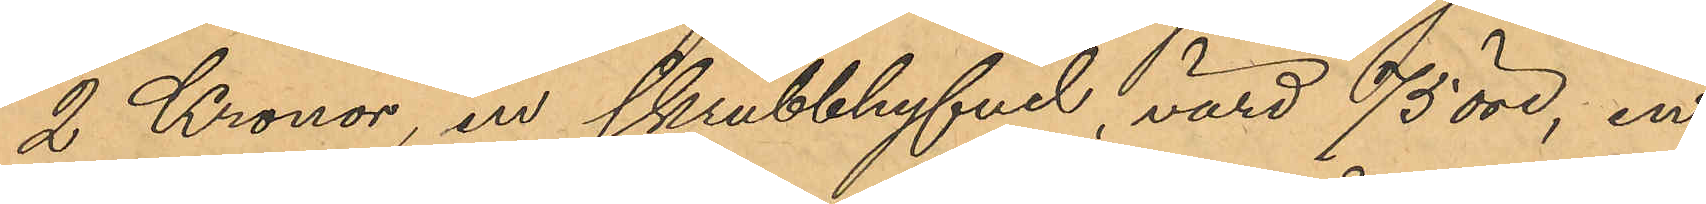2 Kronor, en skrubbhyfvel, värd 75 öre, en
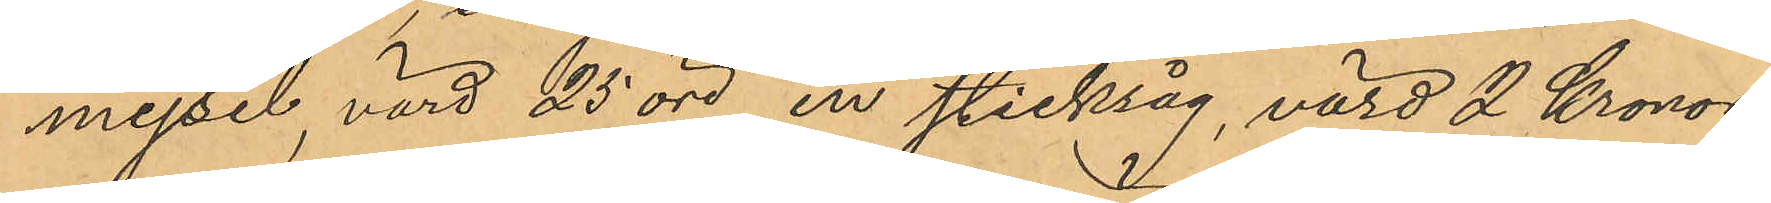mejsel, värd 25 öre, en sticksåg, värd 2 Kronor,
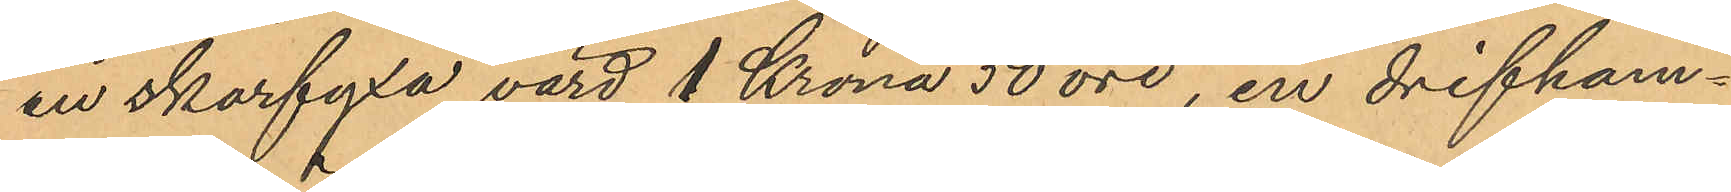en skarfyxa värd 1 Krona 50 öre, en drifham¬
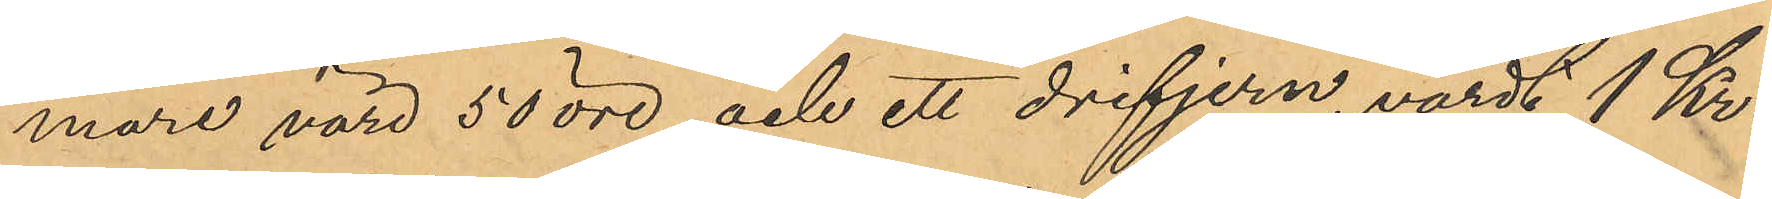mare värd 50 öre och ett drifjern, värdt 1 Kr.
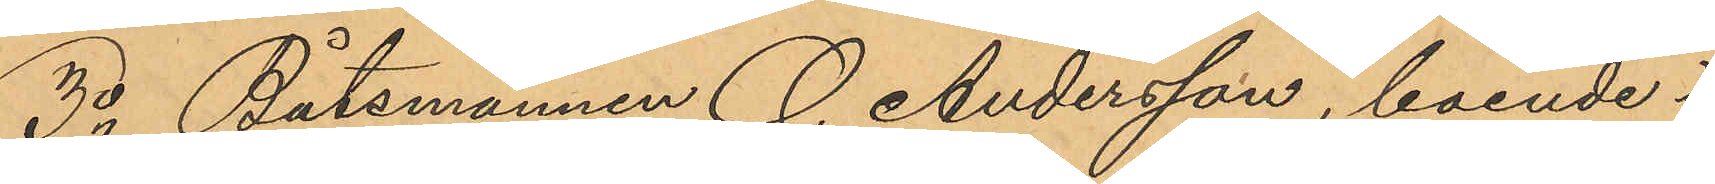3o Båtsmannen O. Andersson, boende i
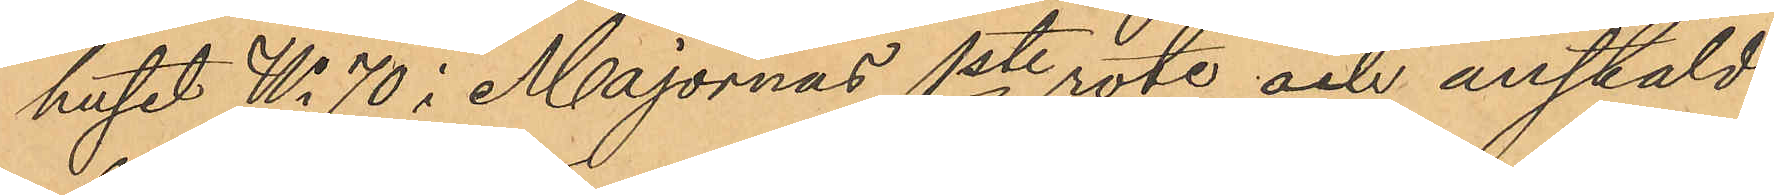huset No 70 i Majornas 1ste rote och anstäld
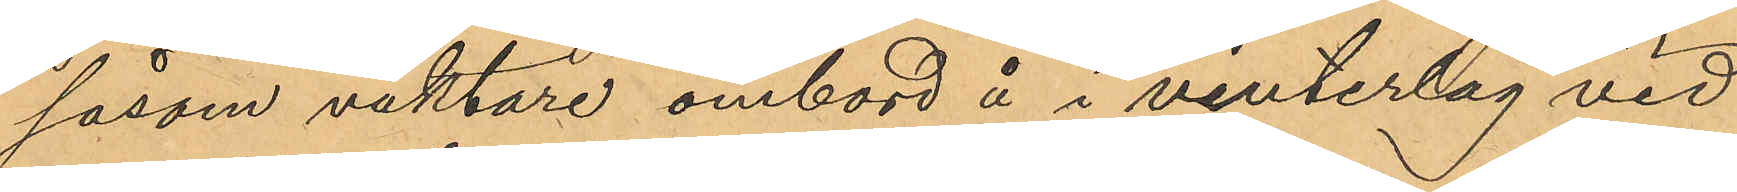såsom vaktare ombord å i vinterlag vid
